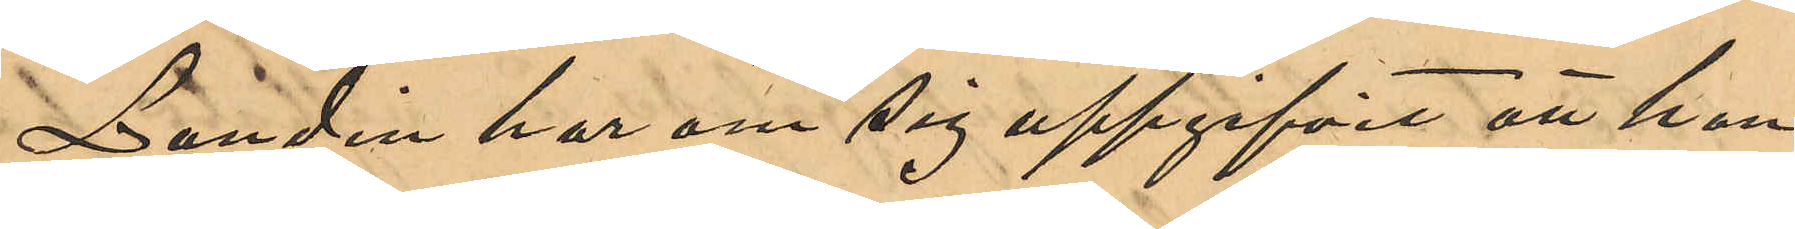Lundin har om sig uppgifvit att han
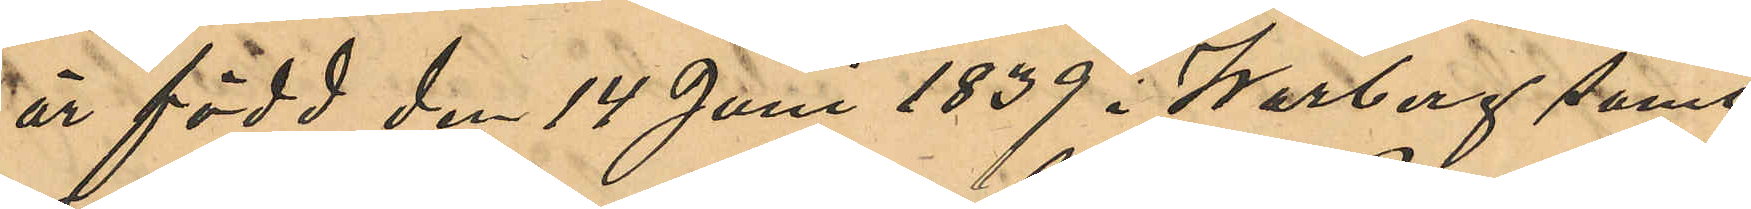är född den 14 Juni 1839 i Warberg samt
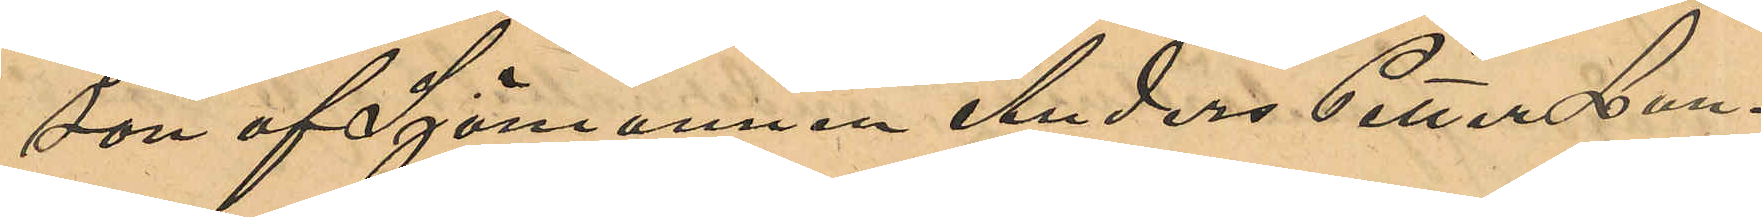son af Sjömannen Anders Petter Lun¬
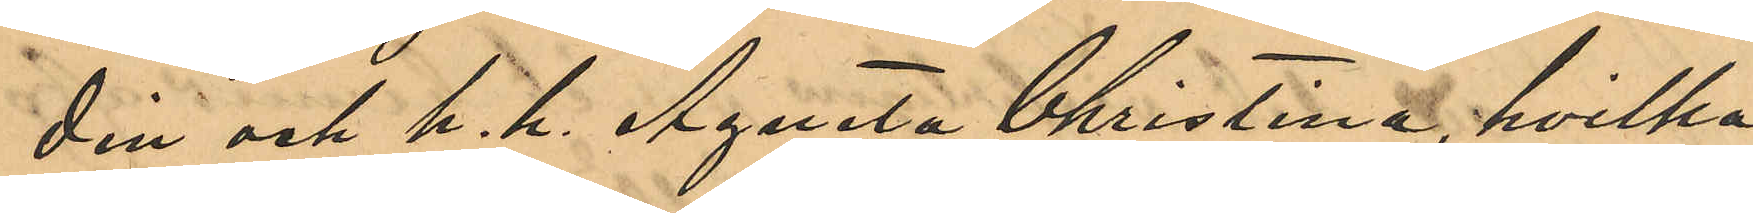din och h. h. Agneta Christina, hvilka
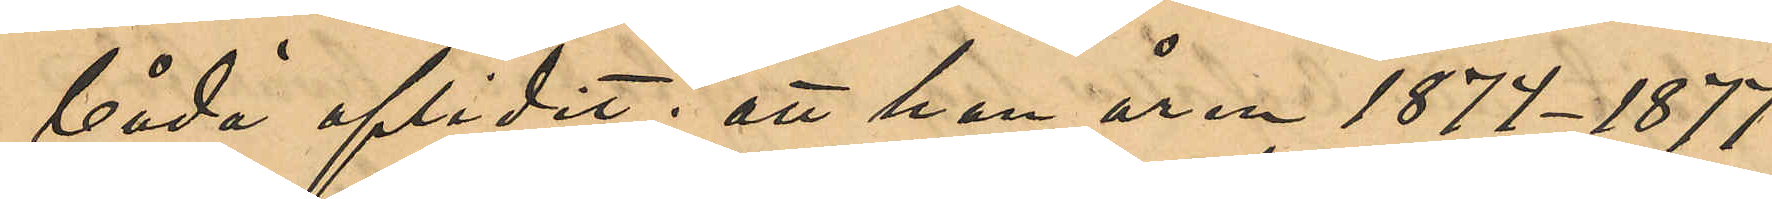båda aflidit; att han åren 1874-1877
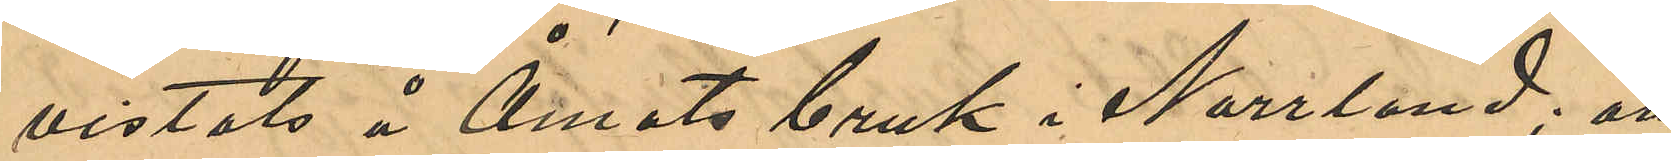vistats å Åmots bruk i Norrland; att
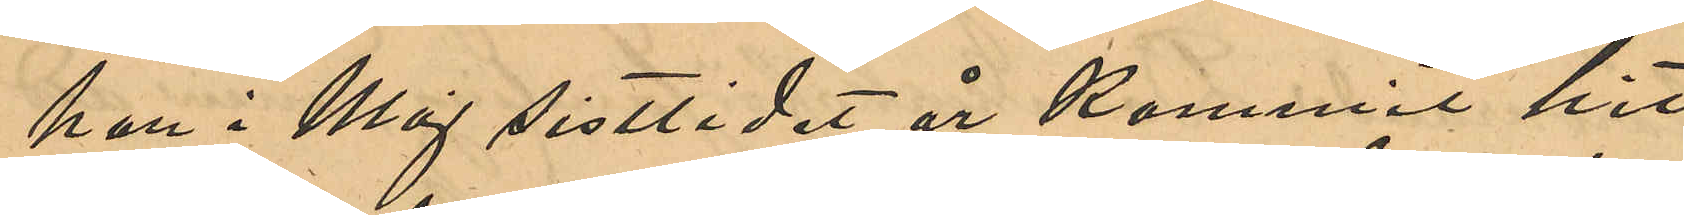han i maj sistlidne år kommit hit
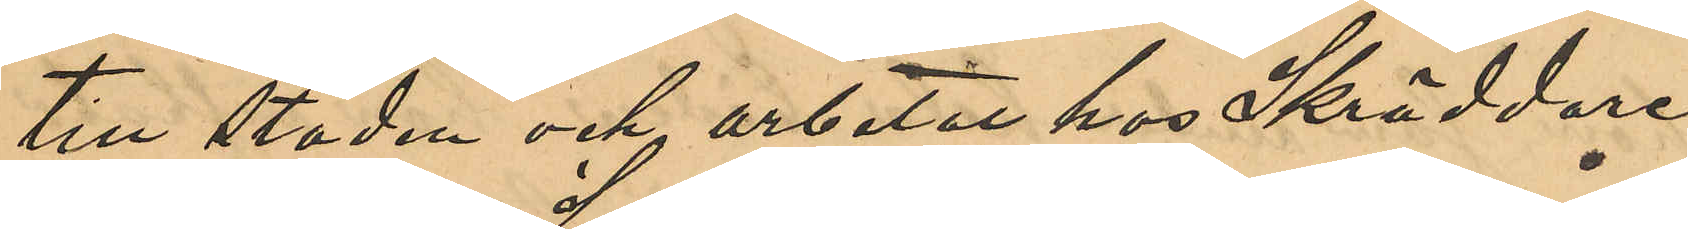till staden och arbetat hos Skräddare¬
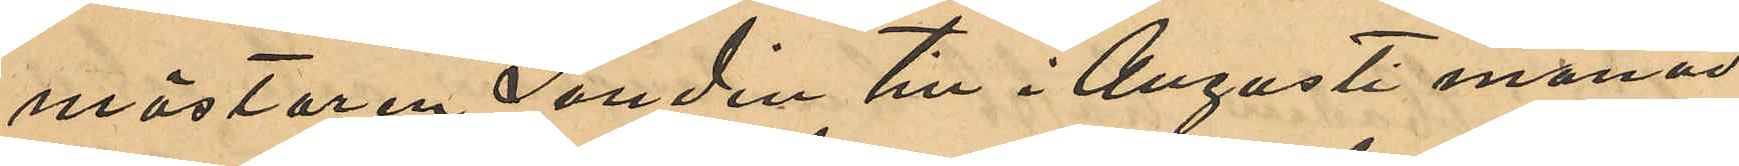mästaren Sundin till Augusti månad
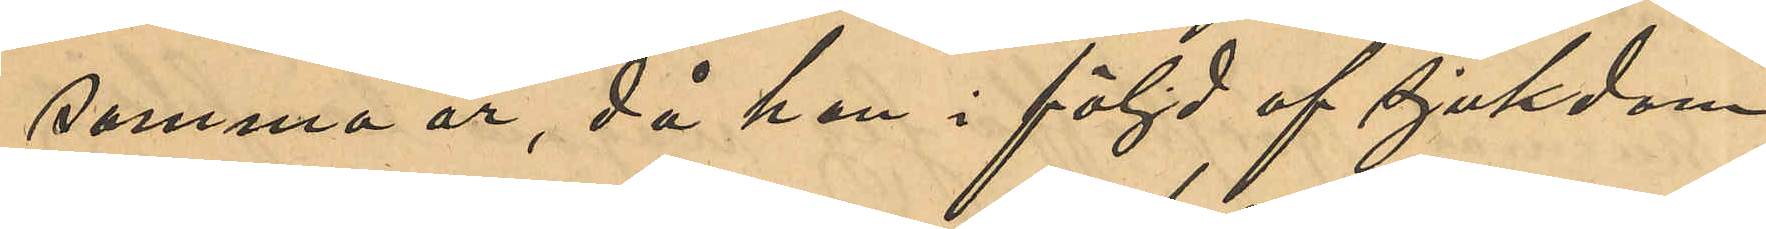samma år, då han i följd af sjukdom
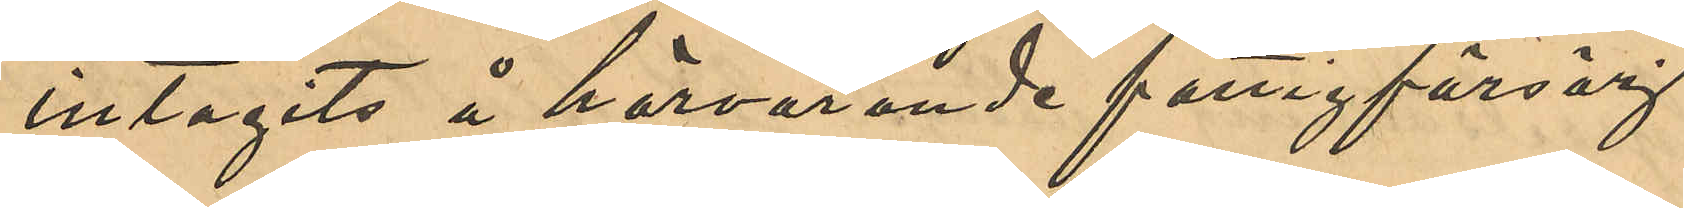intagits å härvarande fattigförsörj¬
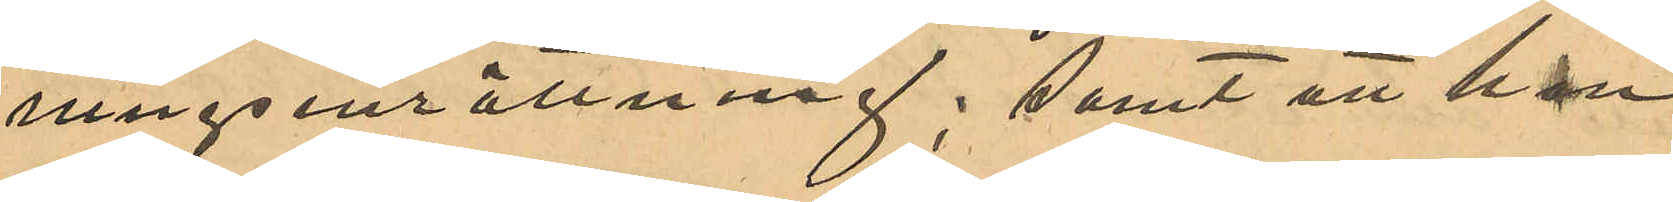ningsinrättning; samt att han
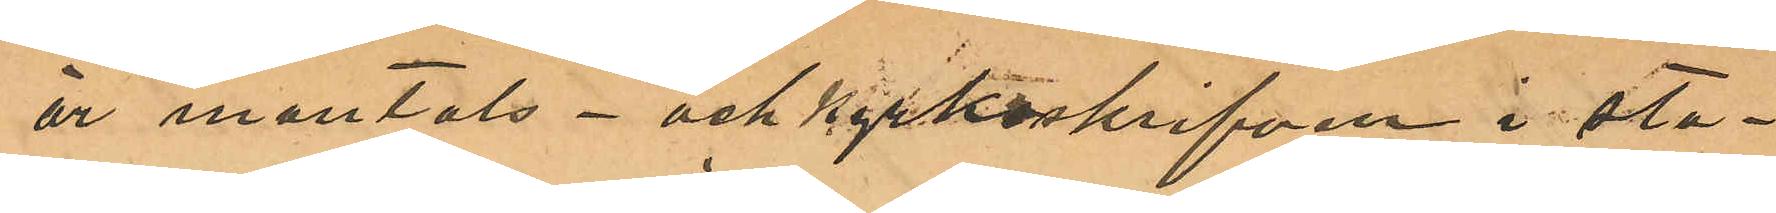är mantals- och kyrkoskrifven i sta¬
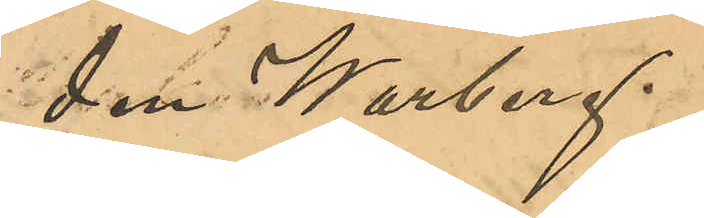den Warberg.
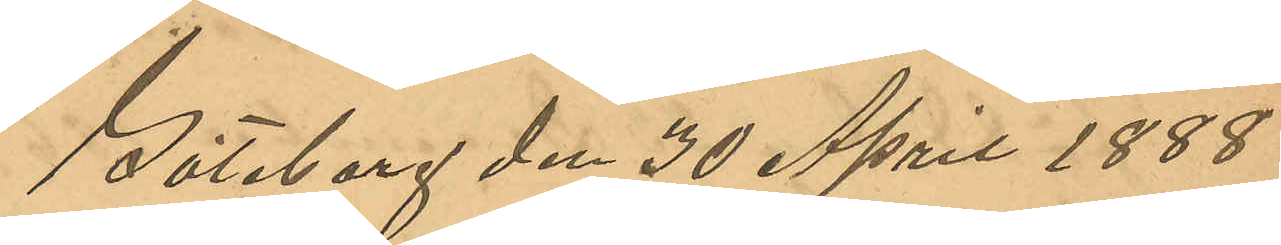Göteborg den 30 April 1888.
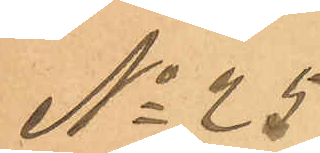No 25
